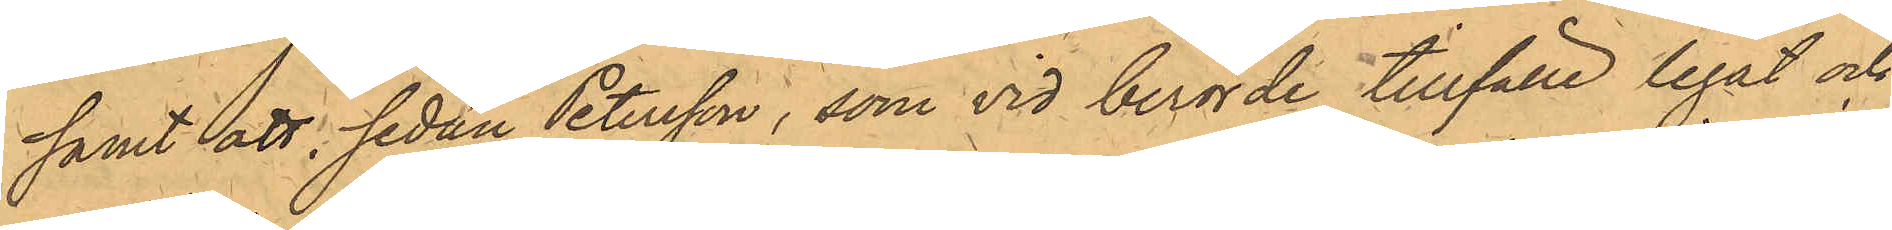samt att, sedan Petersson, som vid berörde tillfälle legat och
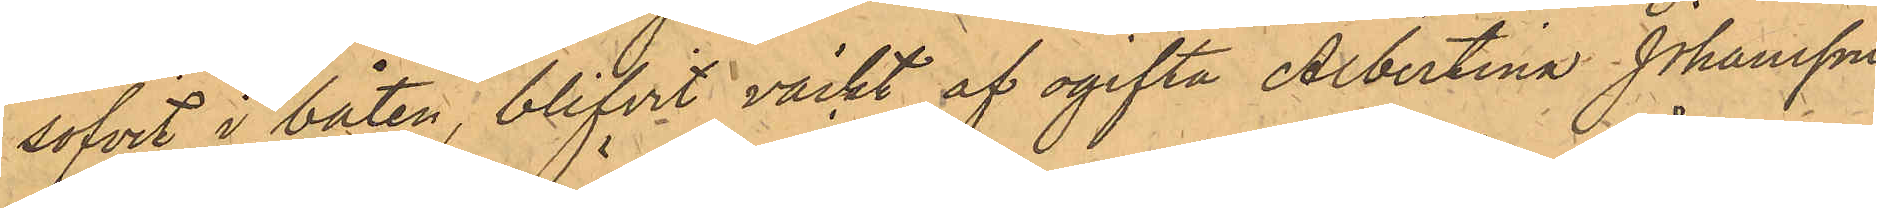sofvit i båten, blifvit väckt af ogifta Albertina Johansson
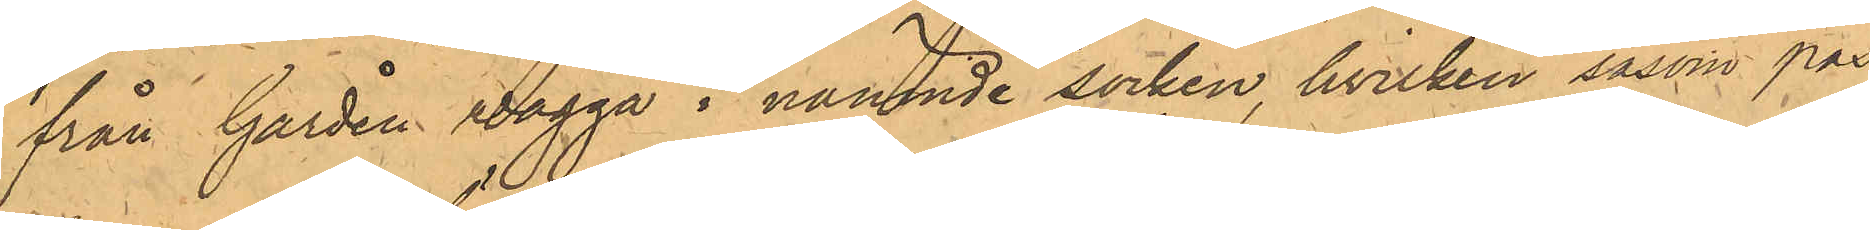från Gården Wägga i nämnde socken, hvilken såsom pas¬
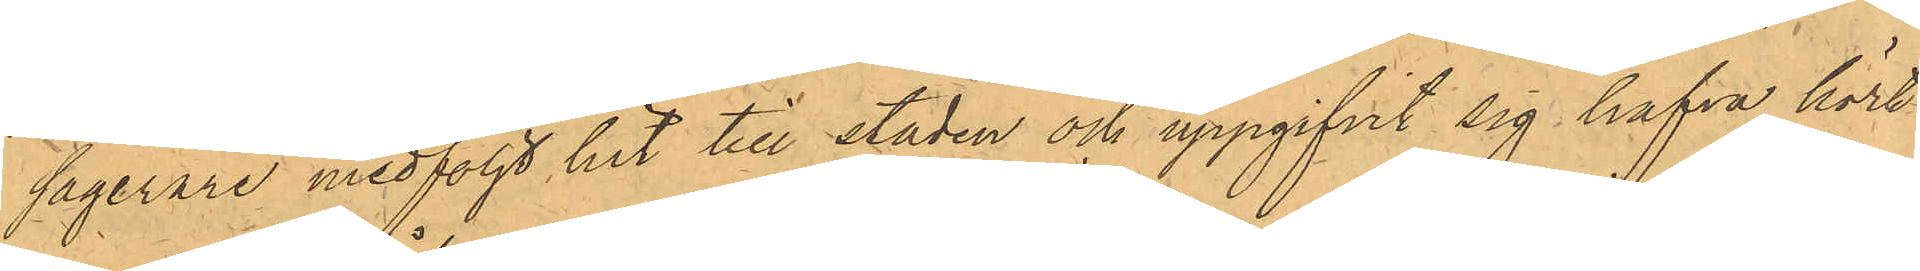sagerare medföljt hit till staden och uppgifvit sig hafva hört
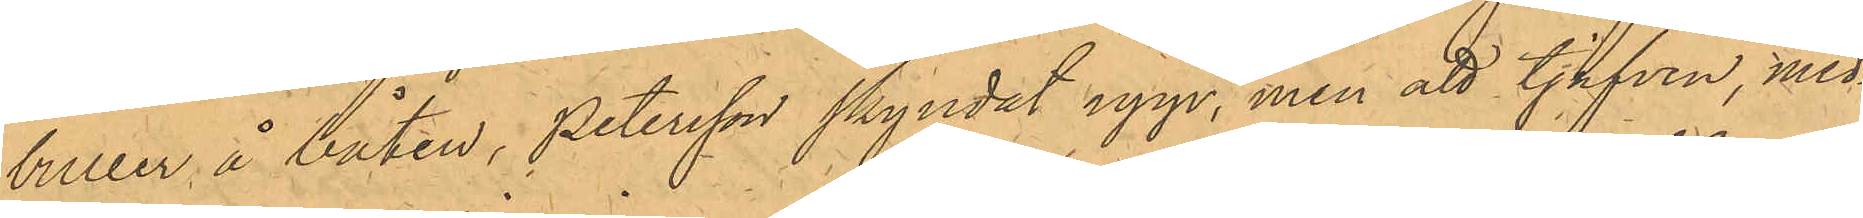buller å båten, Petersson skyndat upp, men att tjufven, med¬
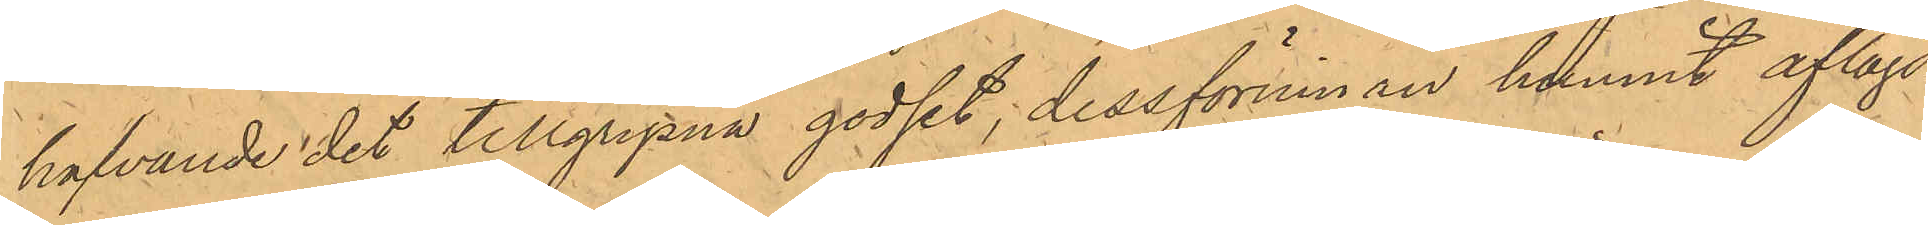hafvande det tillgripna godset, dessförinnan hunnit aflägs¬
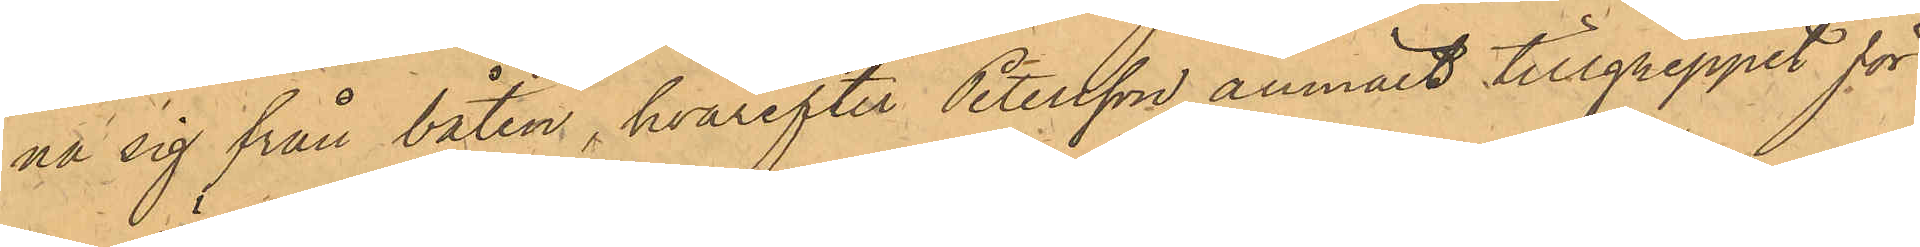na sig från båten, hvarefter Petersson anmält tillgreppet för
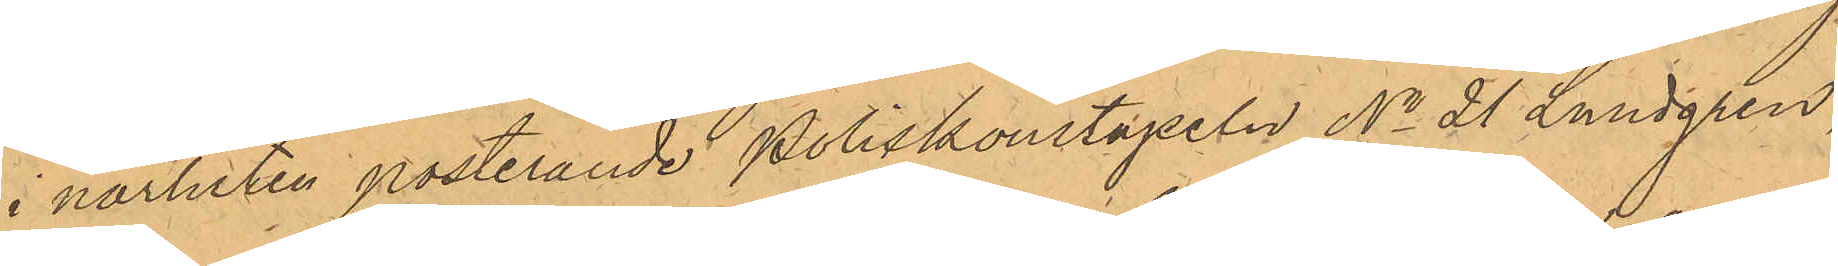i närheten posterande Poliskonstapeln No 21 Lundgren,
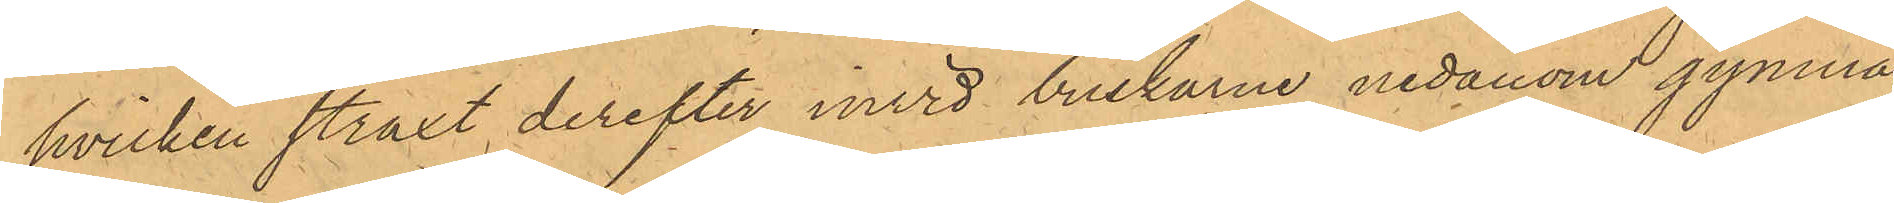hvilken straxt derefter invid buskarne nedanom gymna¬
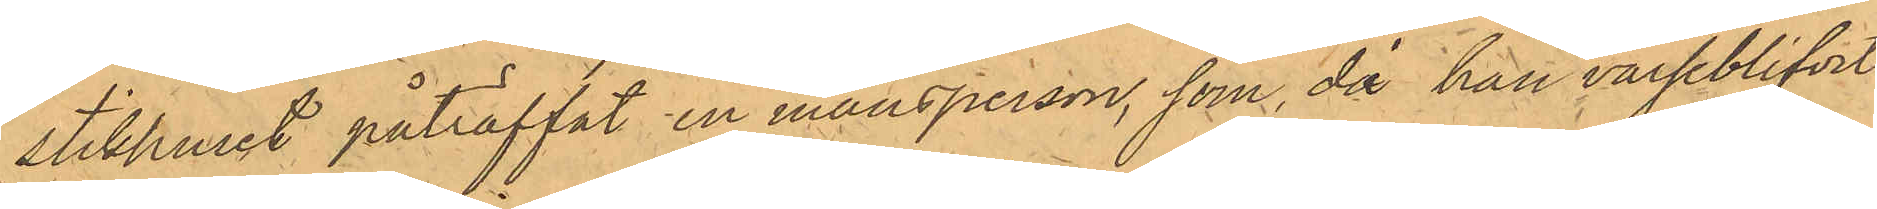stikhuset påträffat en mansperson, som, då han varseblifvit
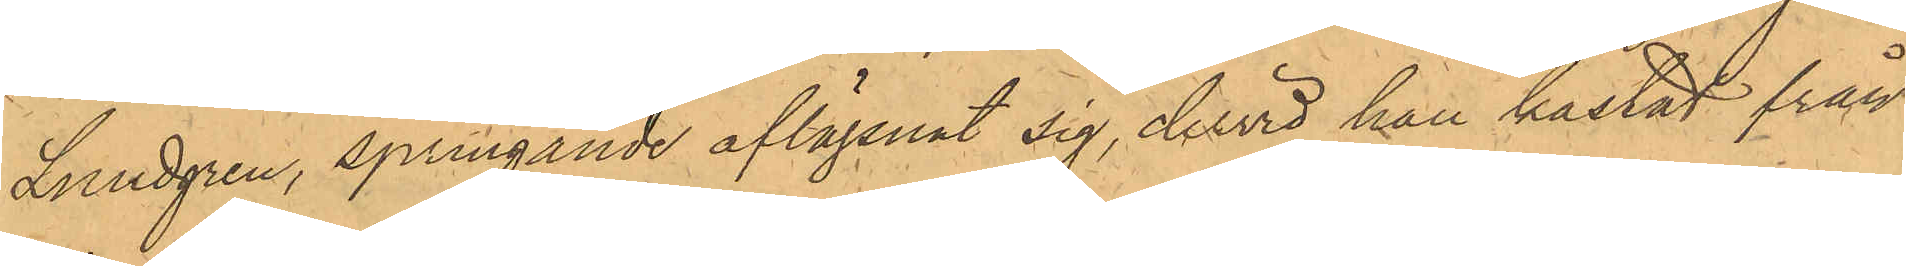Lundgren, springande aflägsnat sig, dervid han kastat från
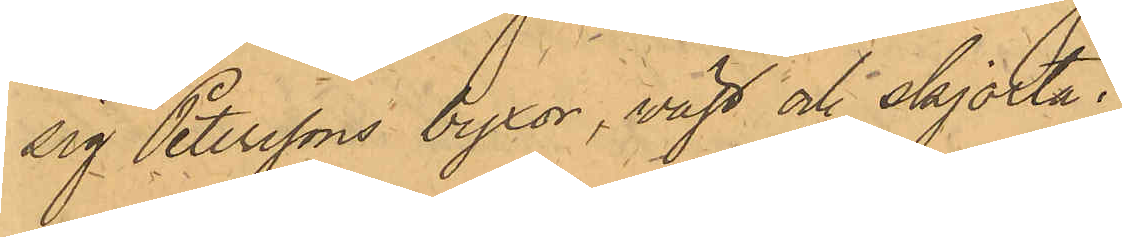sig Peterssons byxor, väst och skjorta.
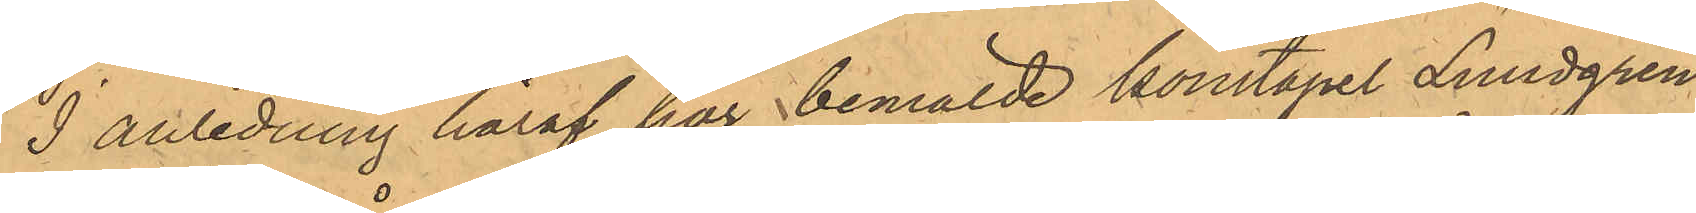I anledning häraf har bemälde konstapel Lundgren
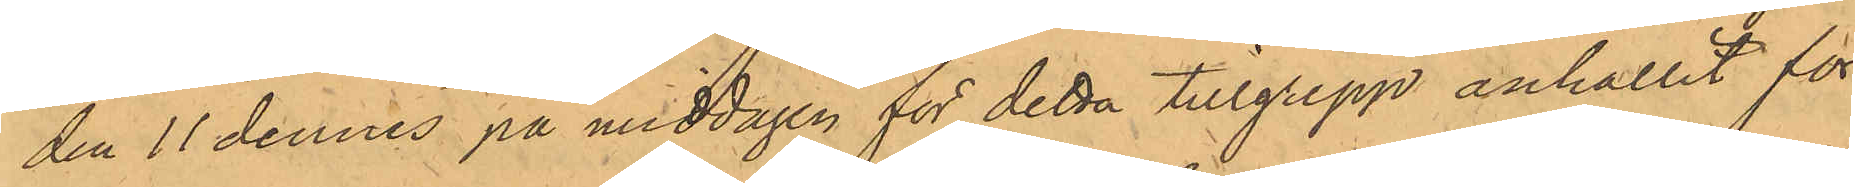den 11 dennes på middagen för detta tillgrepp anhållit för
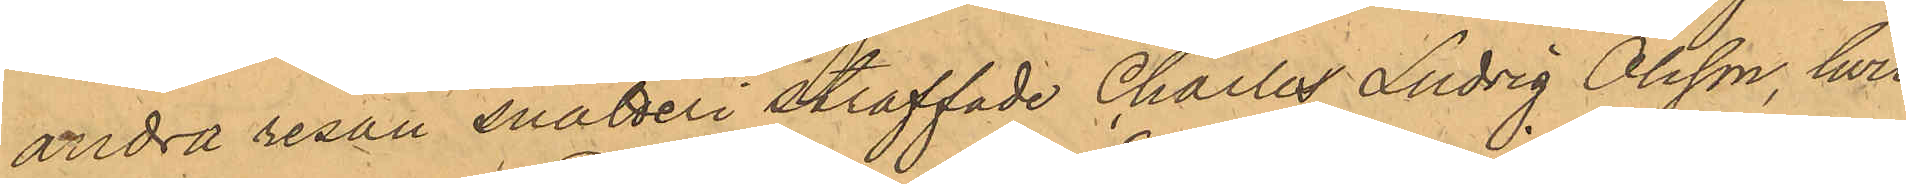andra resan snatteri straffade Charles Ludvig Olsson, hvil¬
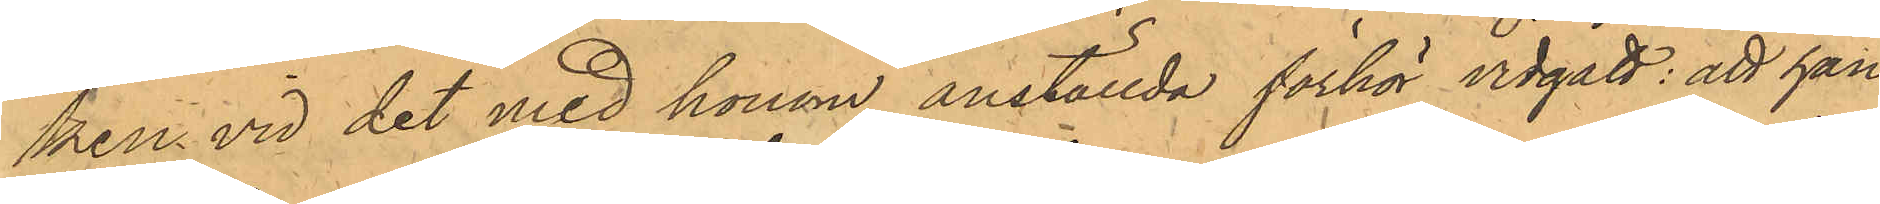ken vid det med honom anställda förhör vidgått: att han
